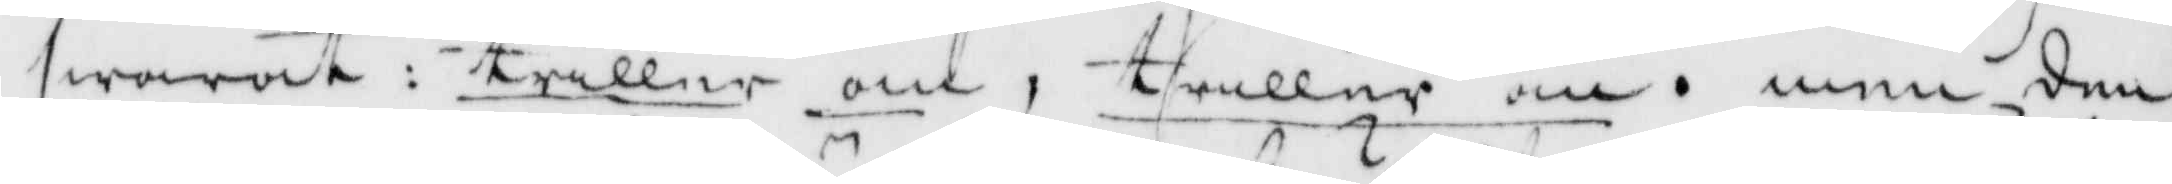swarat: triller om, triller om, men den
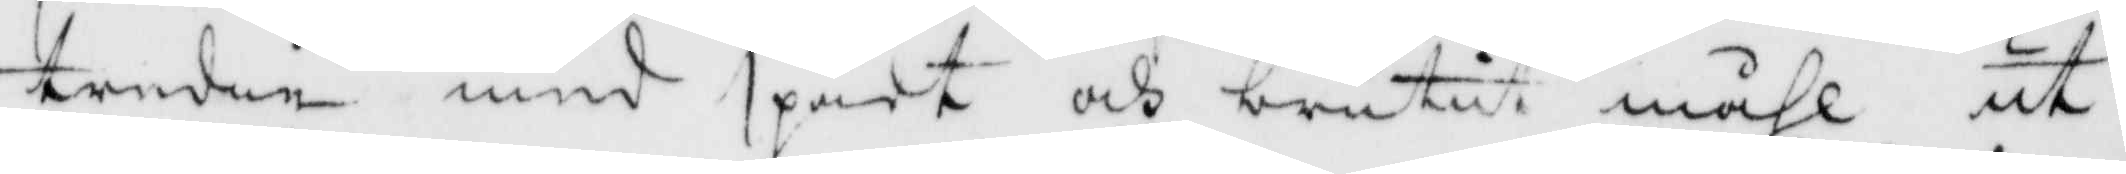tredie med spänt och brutit måhl ut¬
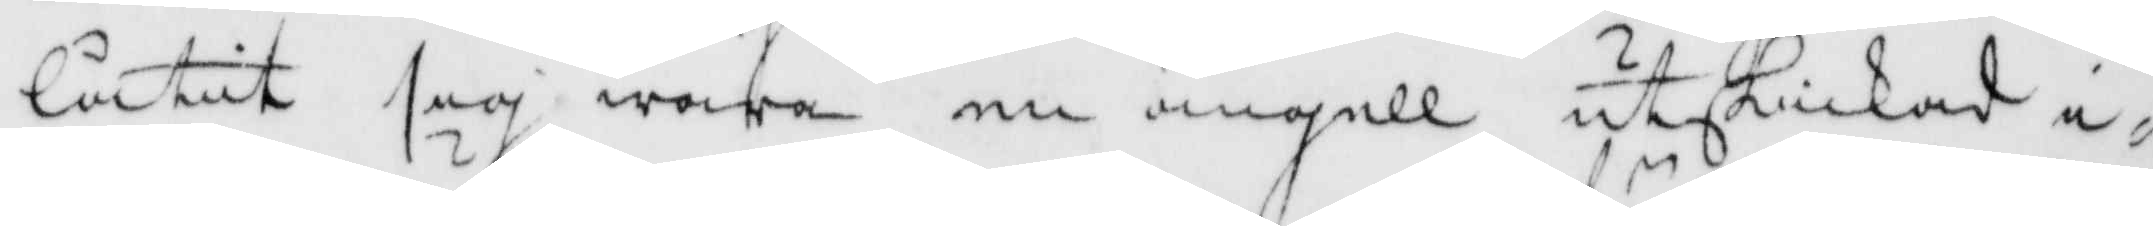låtit sig wara en ängell utskickas i¬
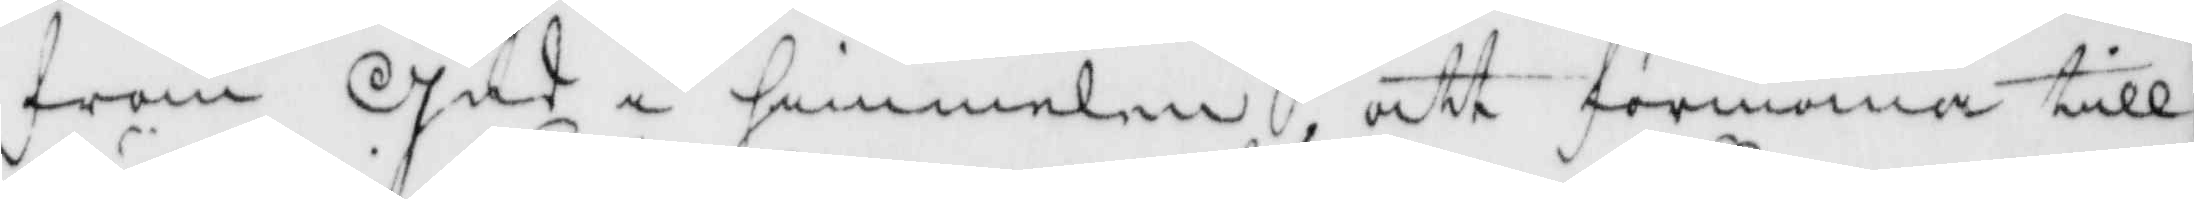från Gud i himmelen, att förmana till
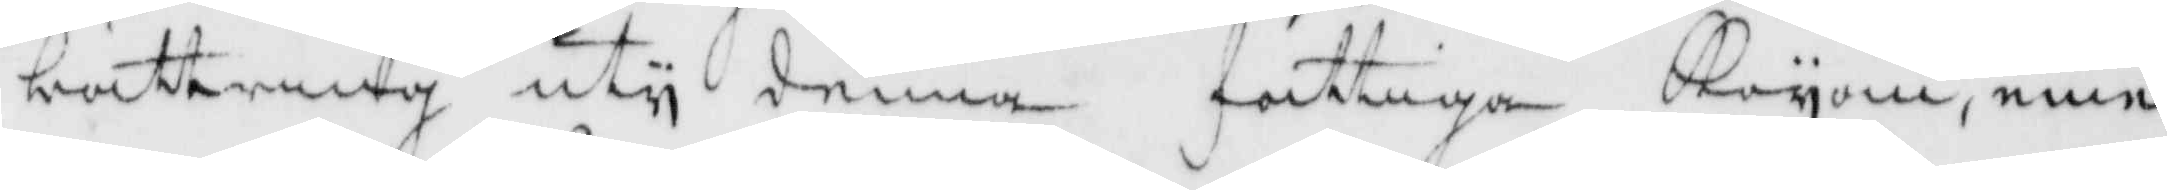bättring uty denna fattiga Koyan, eme¬
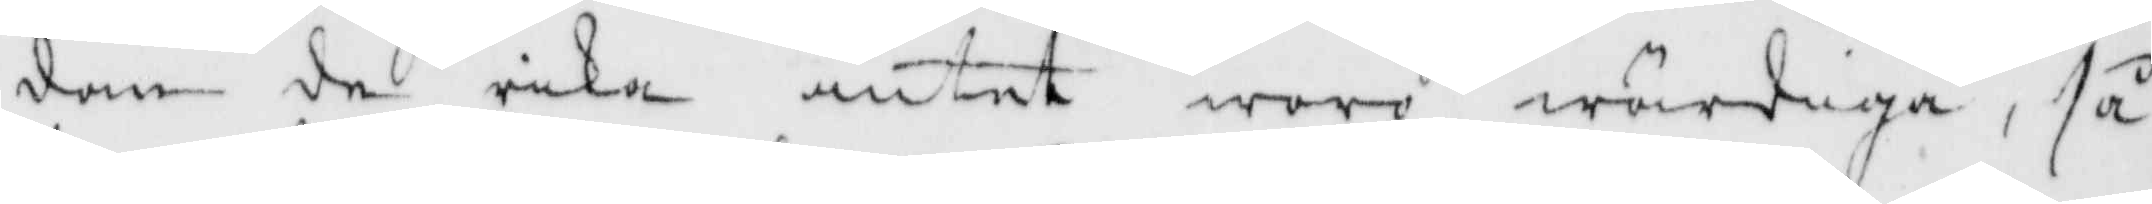dan de icke intet woro wärdiga, så
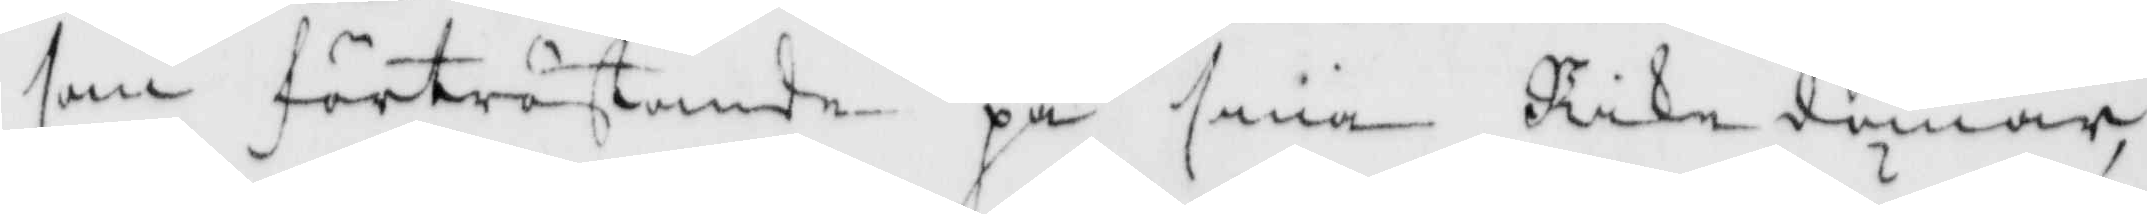som förtröstande på sina Rikedomar,
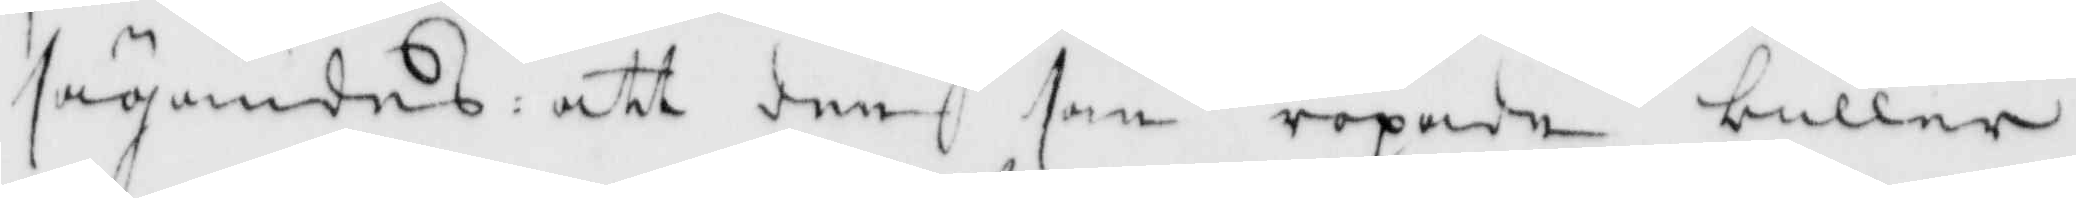sägandes: att den som ropade buller
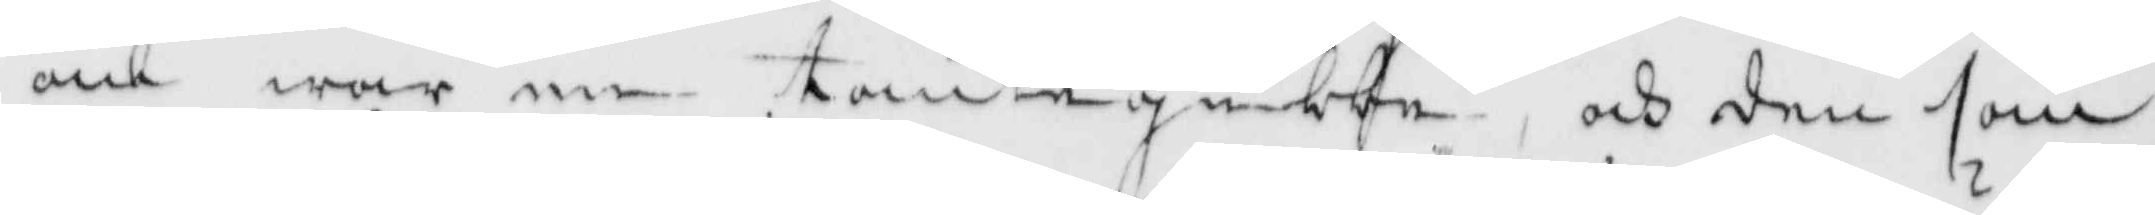om war en tomtegubbe, och den som
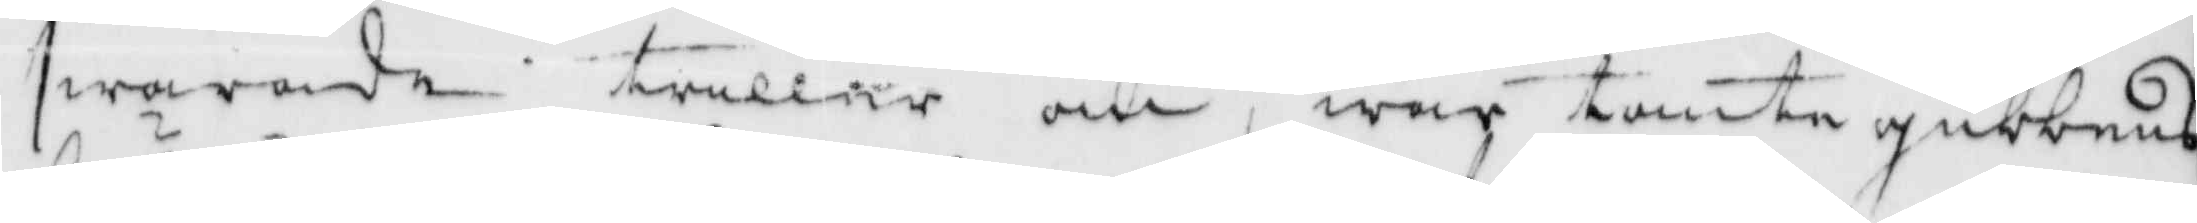swarade triller om, war tomtegubbens
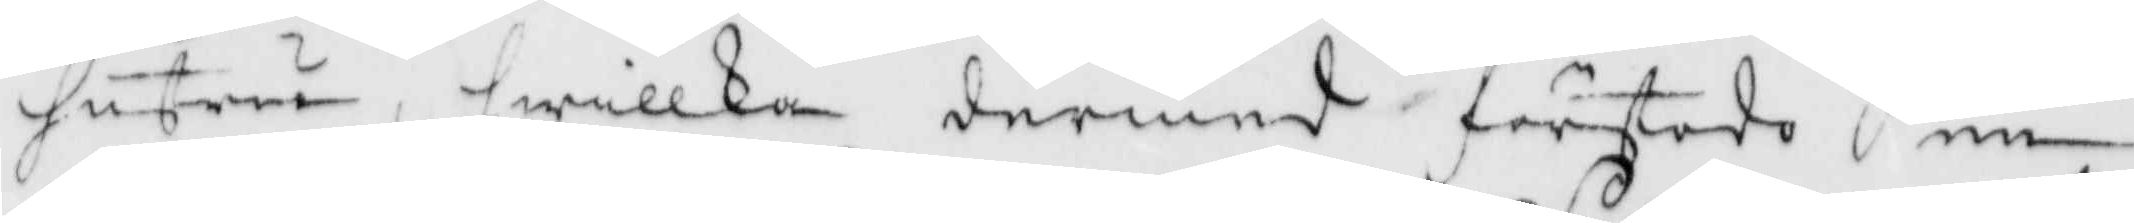hustru, hwilken dermed förstode en
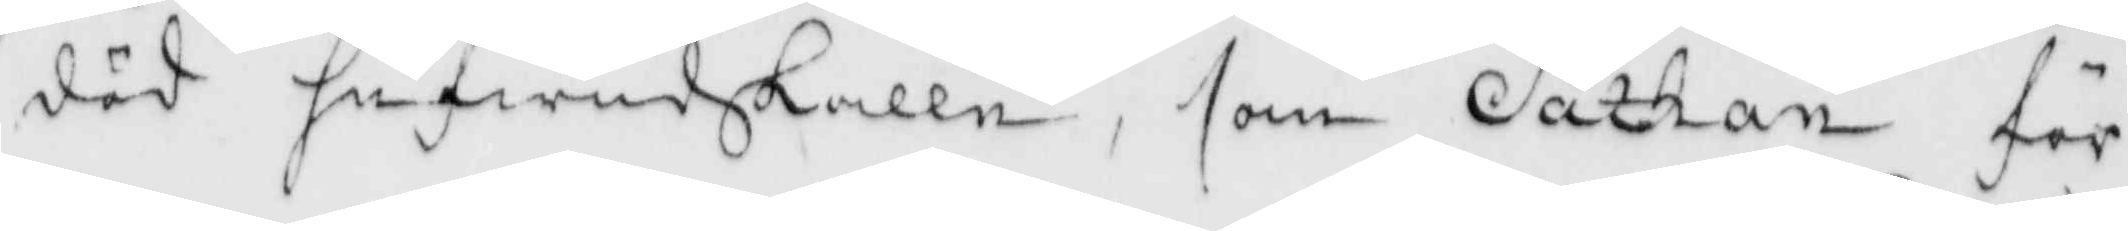död hufwudskalle, som Sathan för
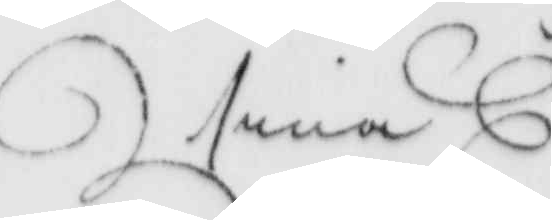sina
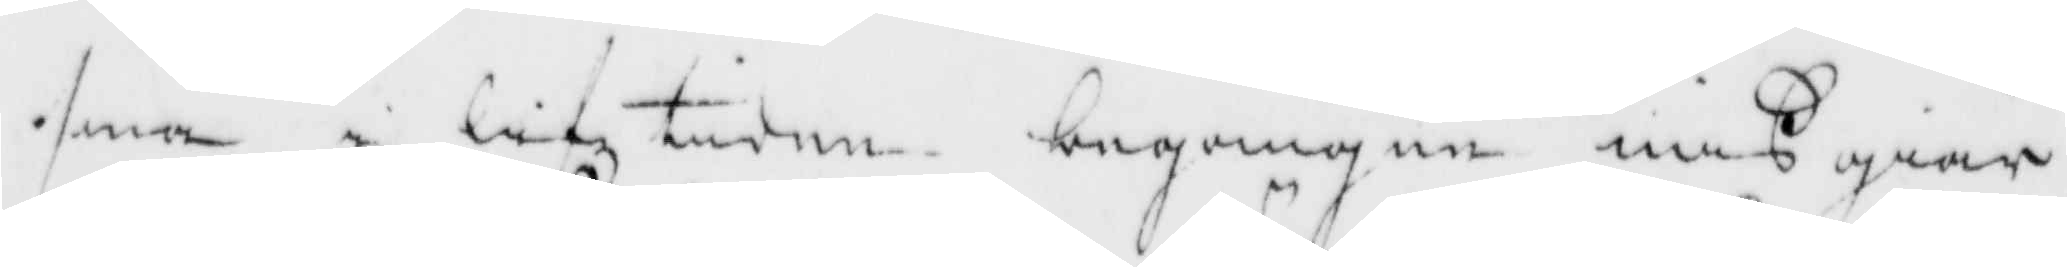sina i lifztiden begångne mißbiär¬
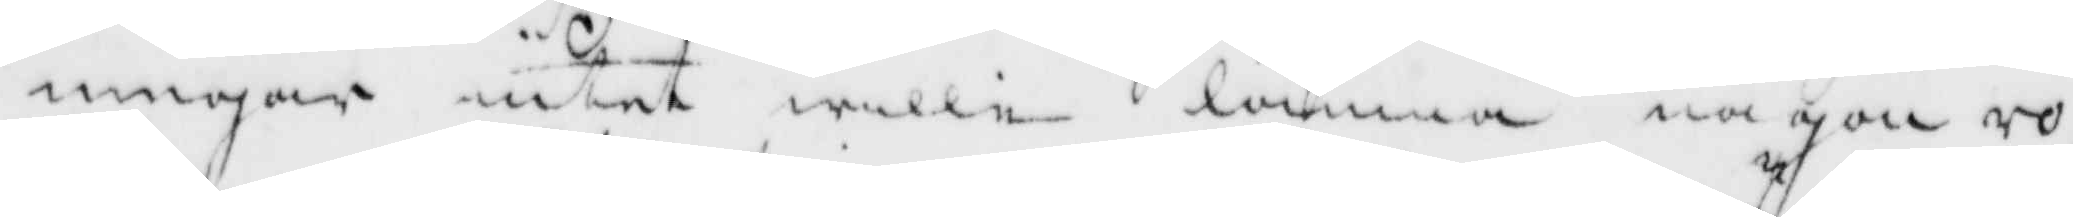ningar intet wille lämna någon ro,
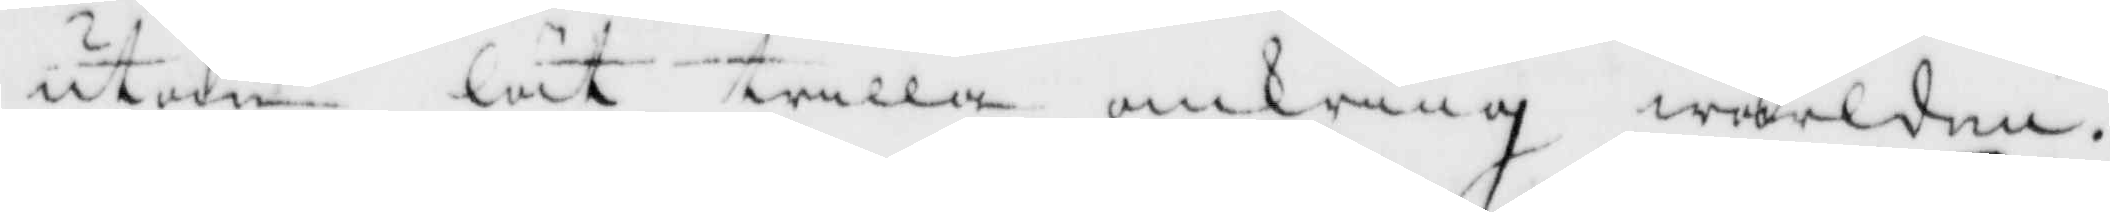utan lät trilla omkring wärlden,
